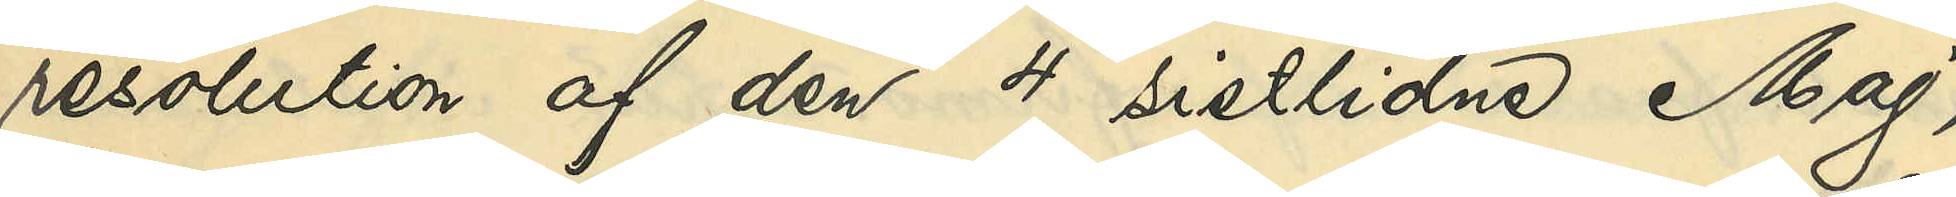resolution af den 4 sistlidne Maj,
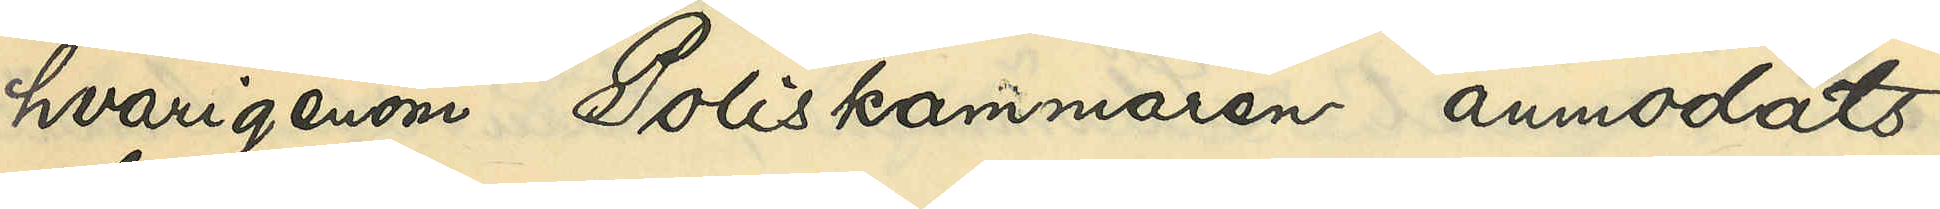hvarigenom Poliskammaren anmodats
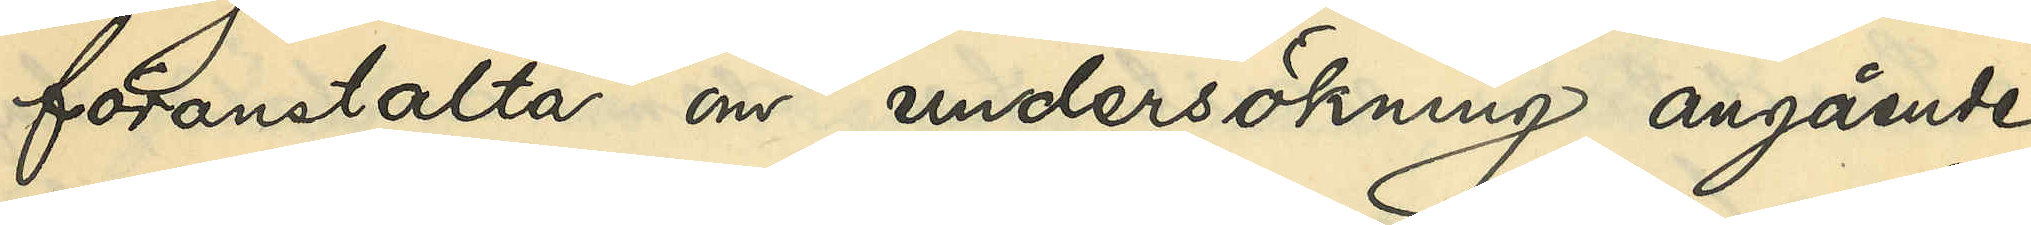föranstalta om undersökning angående
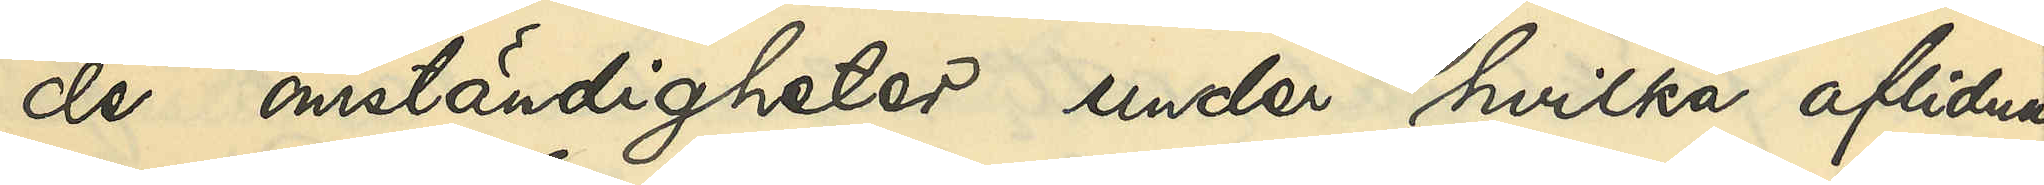de omständigheter under hvilka aflidna
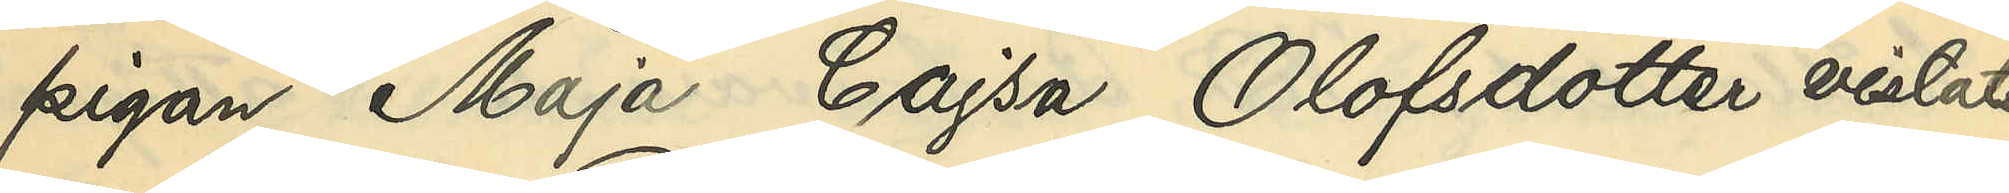pigan Maja Cajsa Olofsdotter vistats
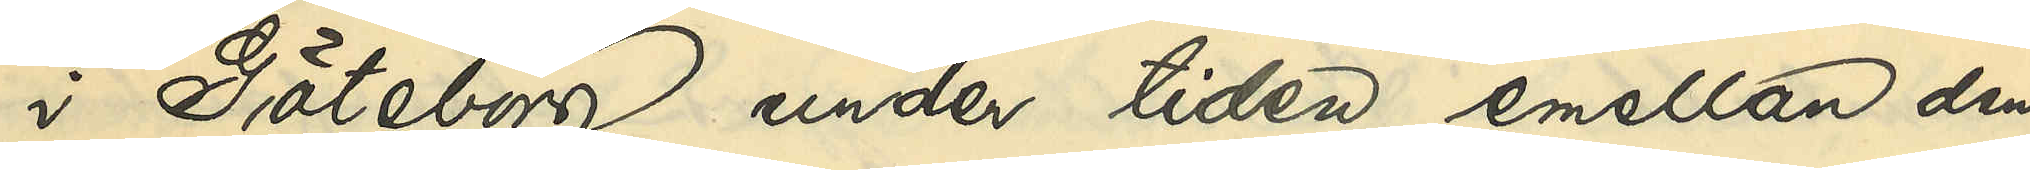i Göteborg under tiden emellan den
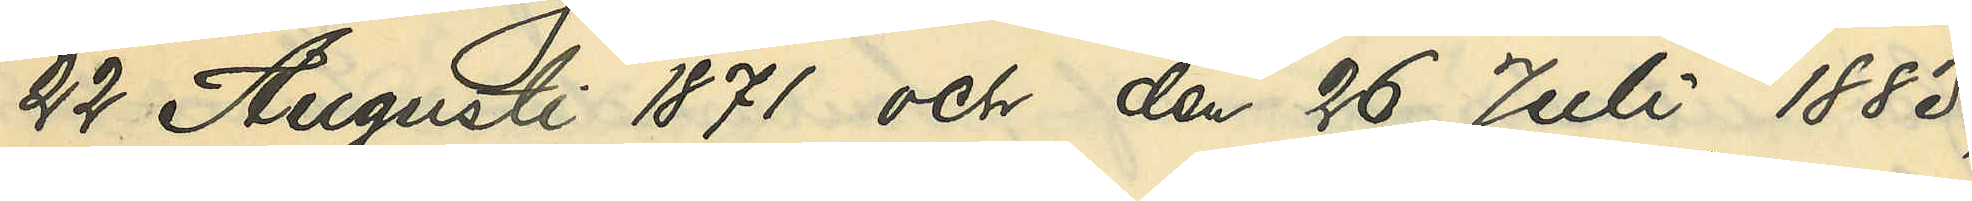22 Augusti 1871 och den 26 Juli 1883,
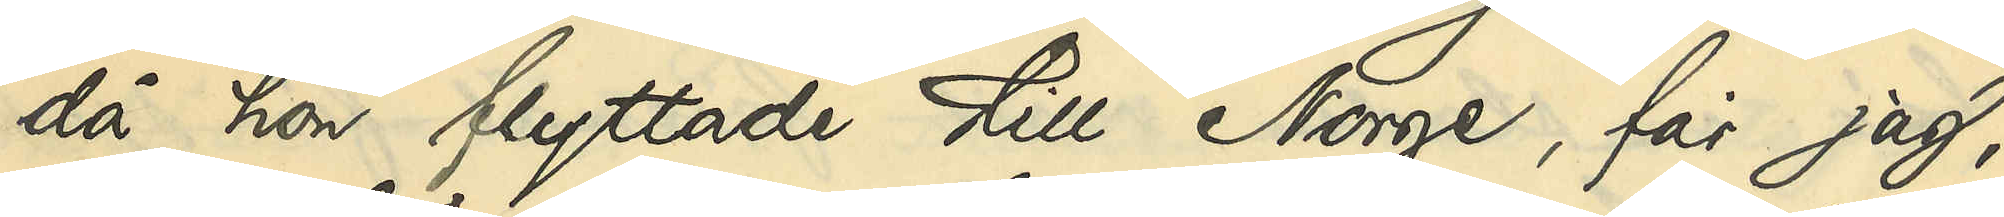då hon flyttade till Norge, får jag,
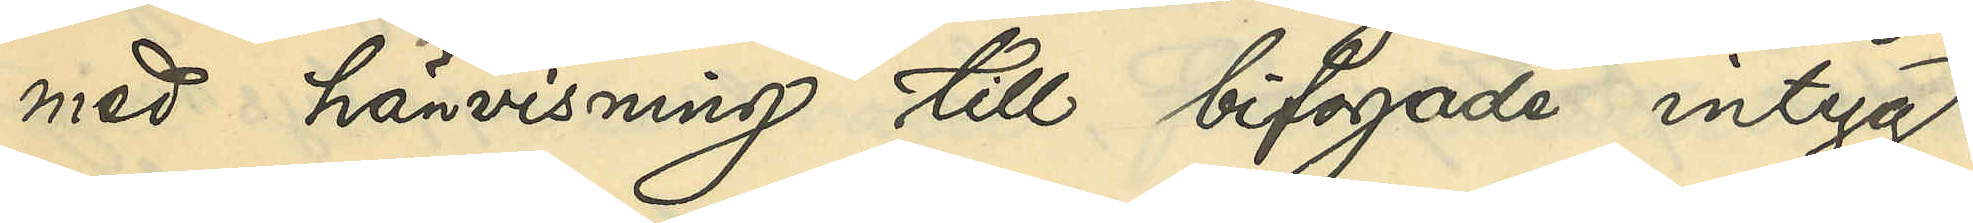med hänvisning till bifogade intyg,
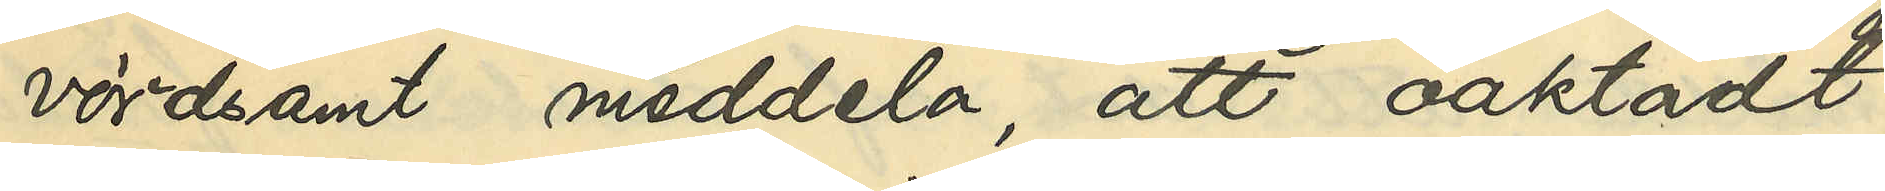vördsamt meddela, att oaktadt
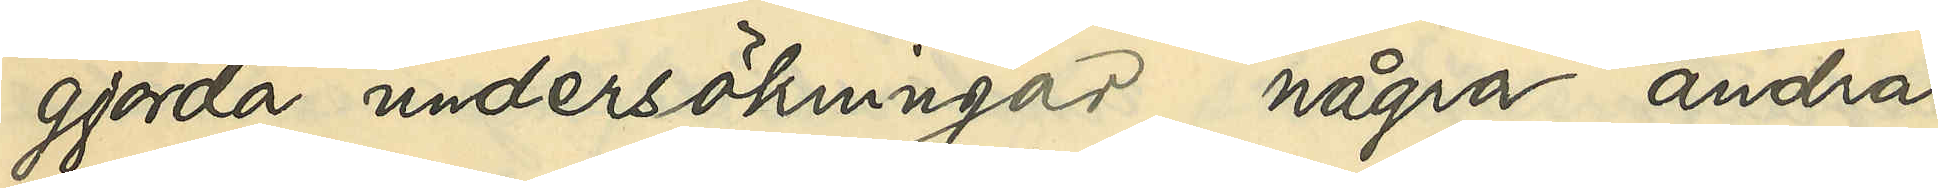gjorda undersökningar några andra
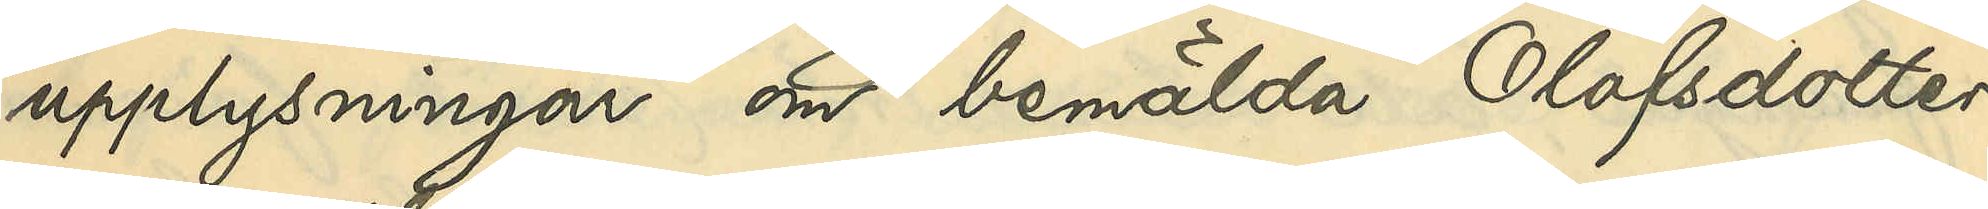upplysningar om bemälda Olofsdotter
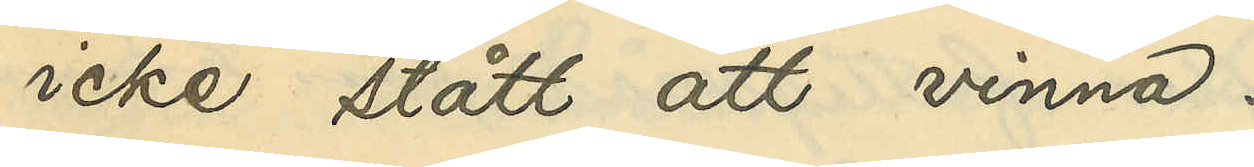icke stått att vinna.
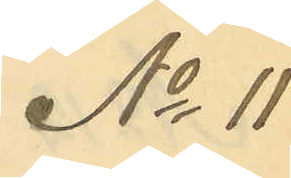No 11
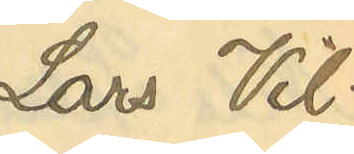Lars Vil¬
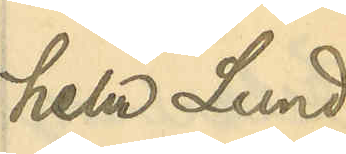helm Lund¬
